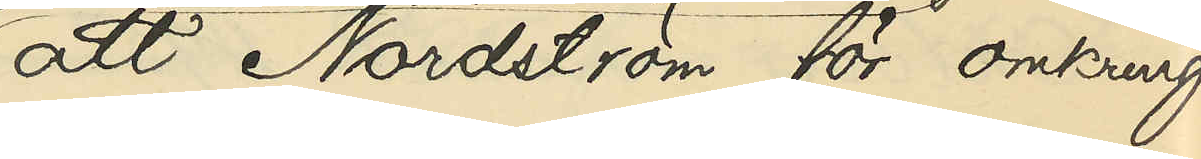att Nordström för omkring
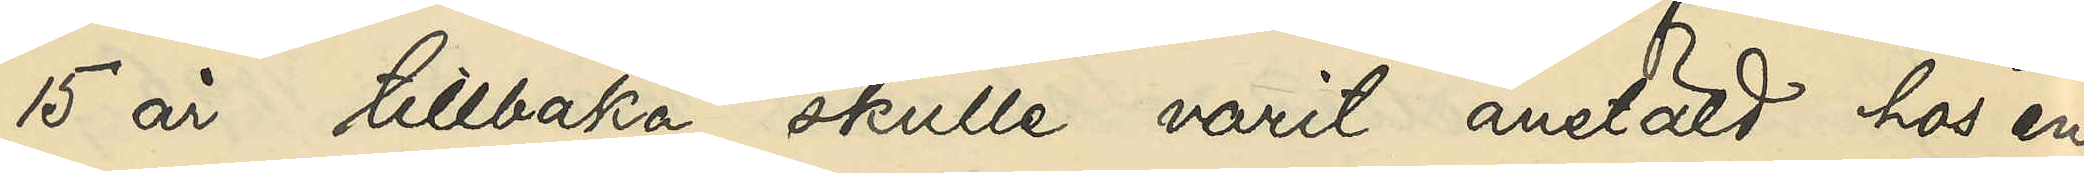15 år tillbaka skulle varit anstäld hos en
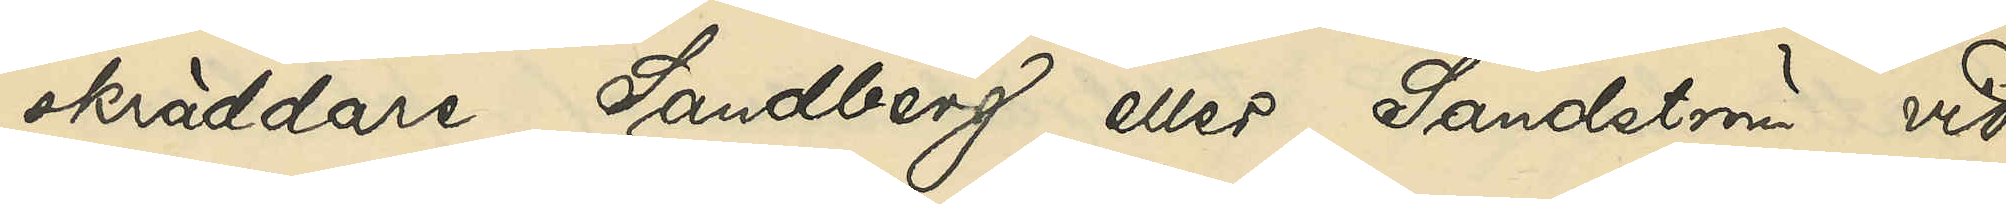skräddare Sandberg eller Sandström vid
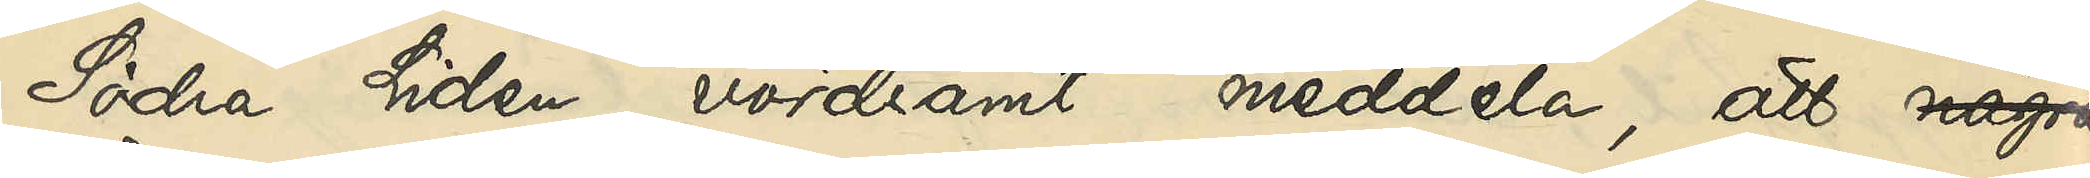Södra Liden, vördsamt meddela, att några
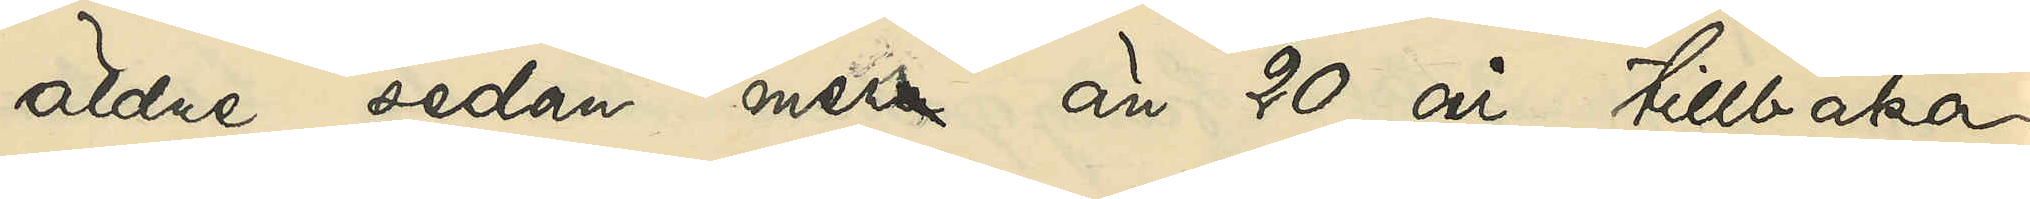äldre sedan mera än 20 år tillbaka
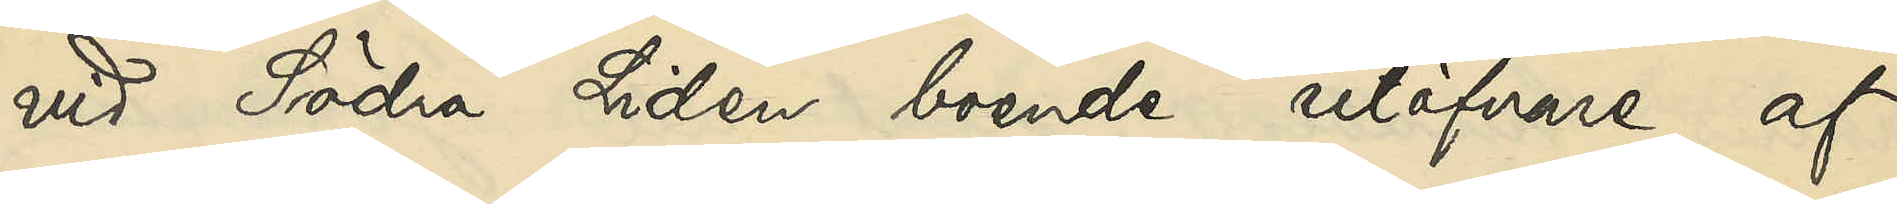vid Södra Liden boende utöfvare af
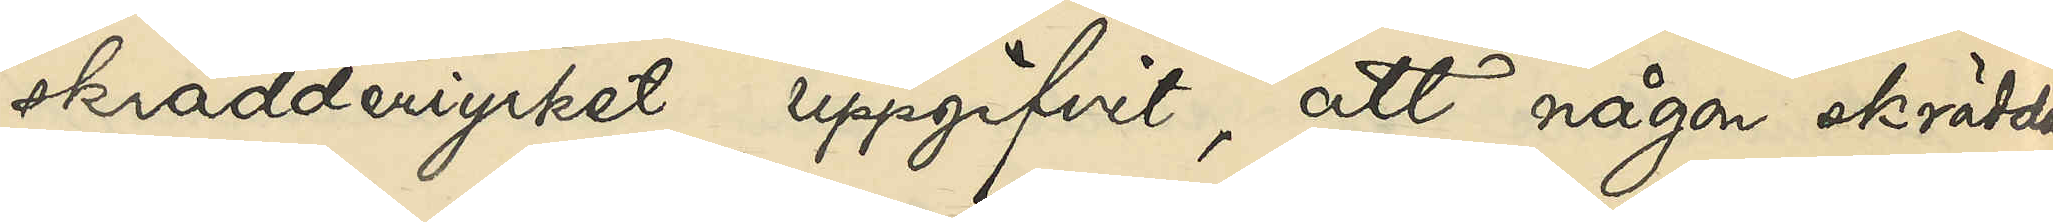skrädderiyrket uppgifvit, att någon skräddare
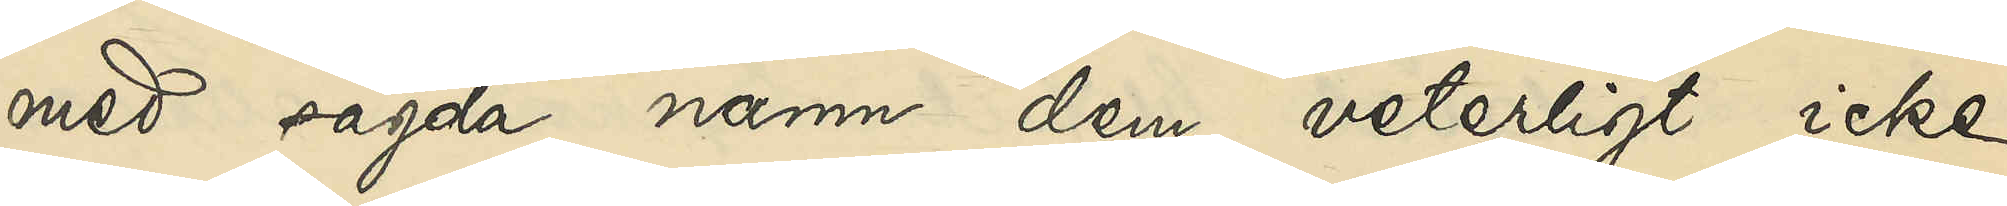med sagda namn dem veterligt icke
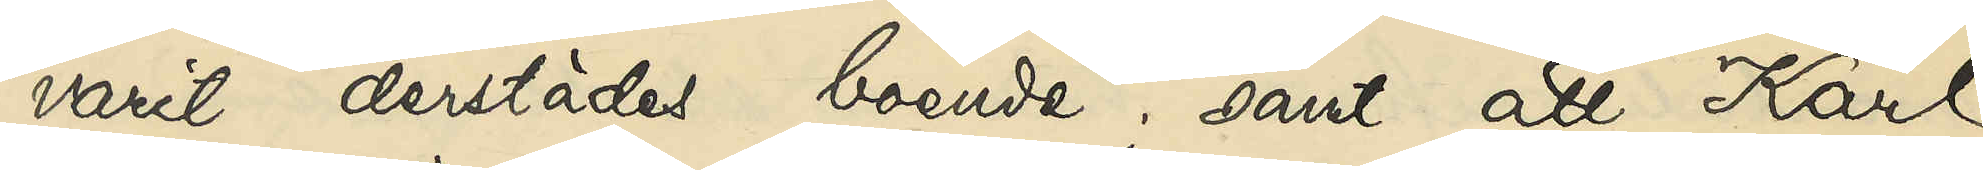varit derstädes boende; samt att Karl
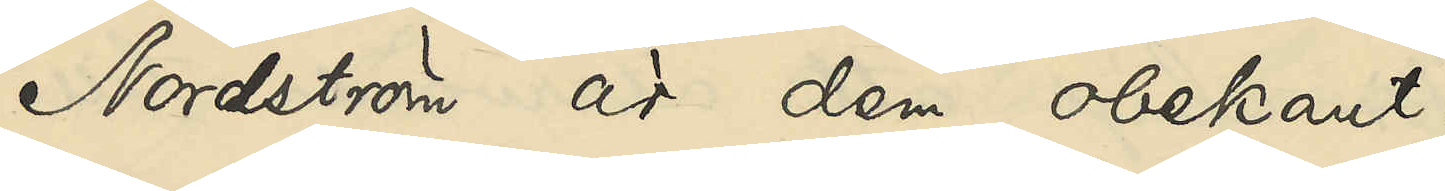Nordström är dem obekant.
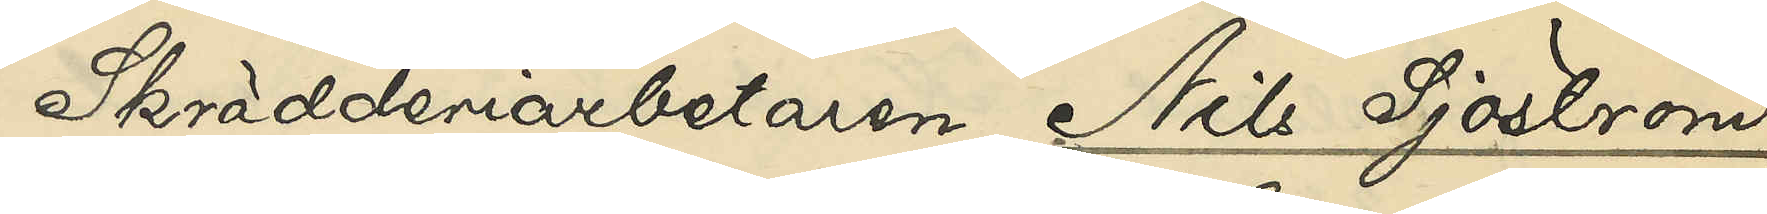Skrädderiarbetaren Nils Sjöström,
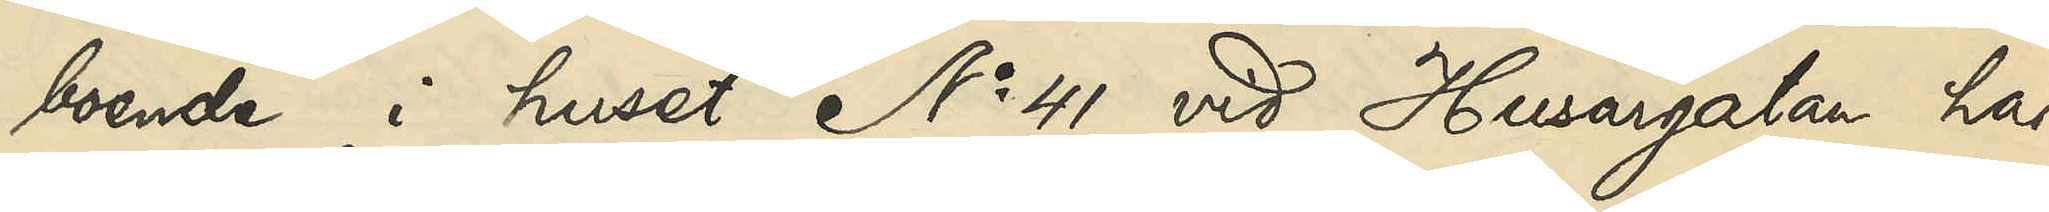boende i huset No 41 vid Husargatan har
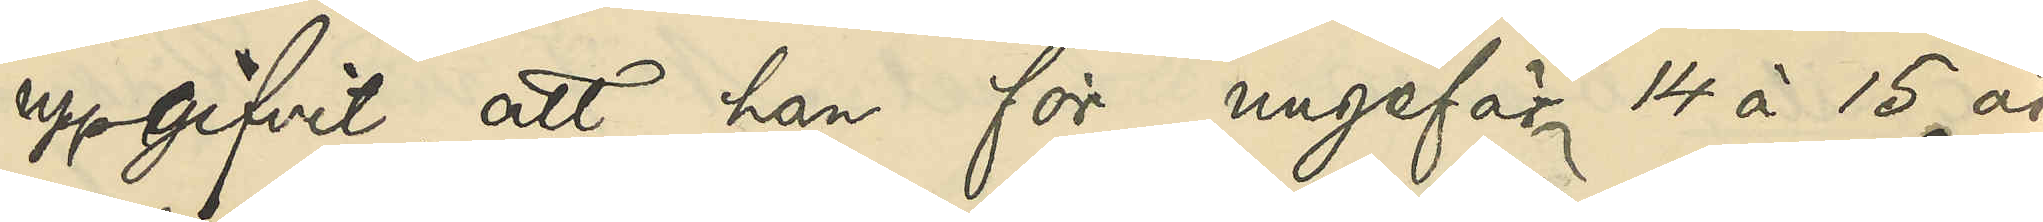uppgifvit, att han för ungefär 14 à 15 år
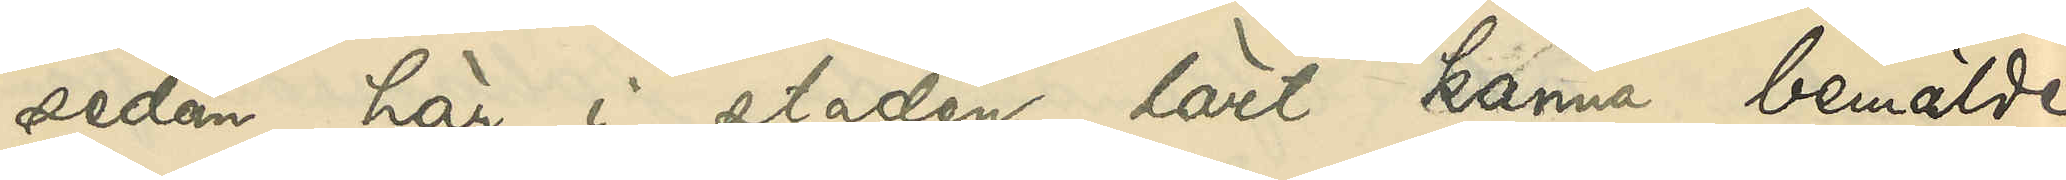sedan här i staden lärt känna bemälde
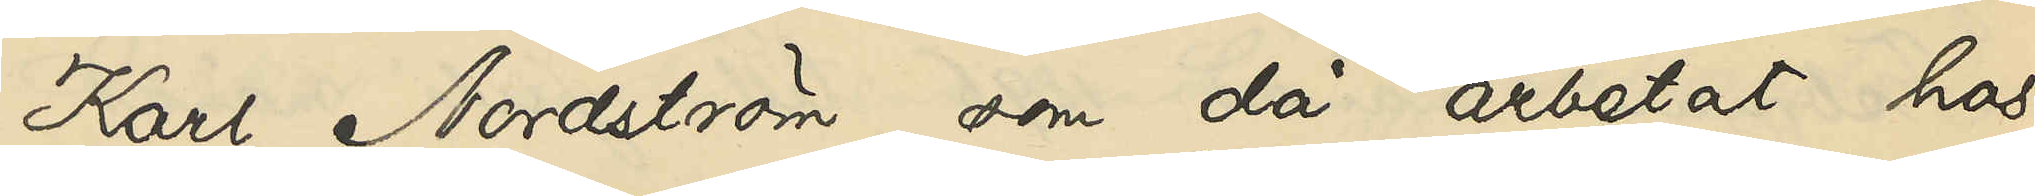Karl Nordström, som då arbetat hos
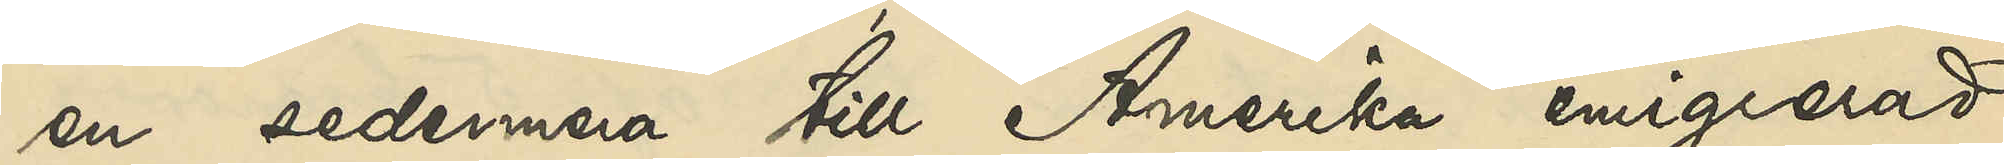en sedermera till Amerika emigrerad
